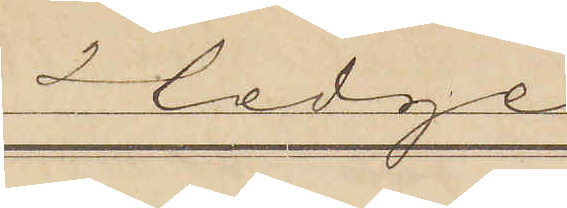Hedge
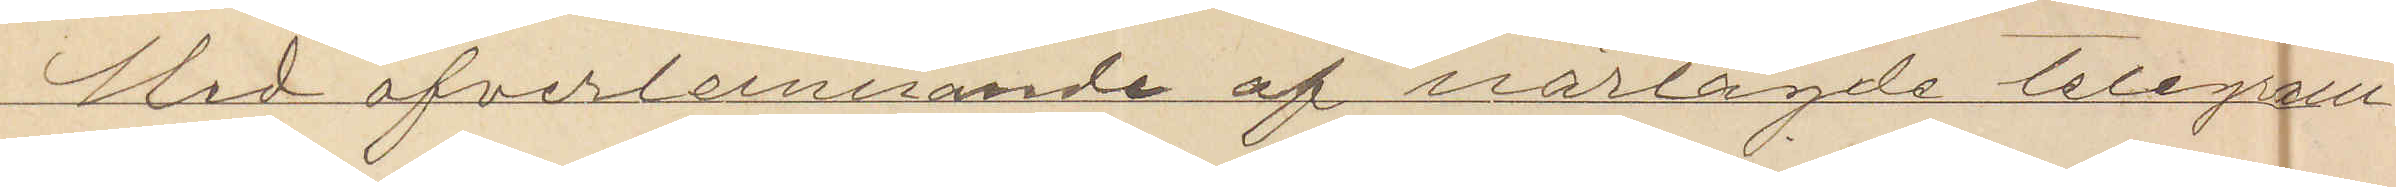Med öfverlemnande af närlagde telegram
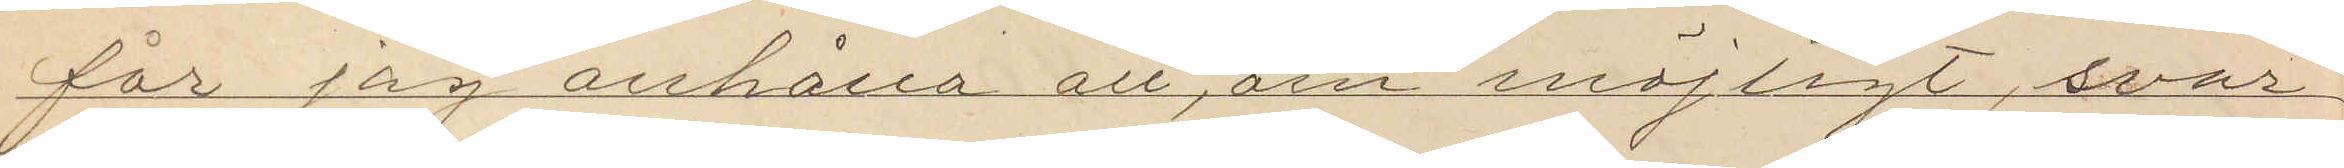får jag anhålla att, om möjligt, svar
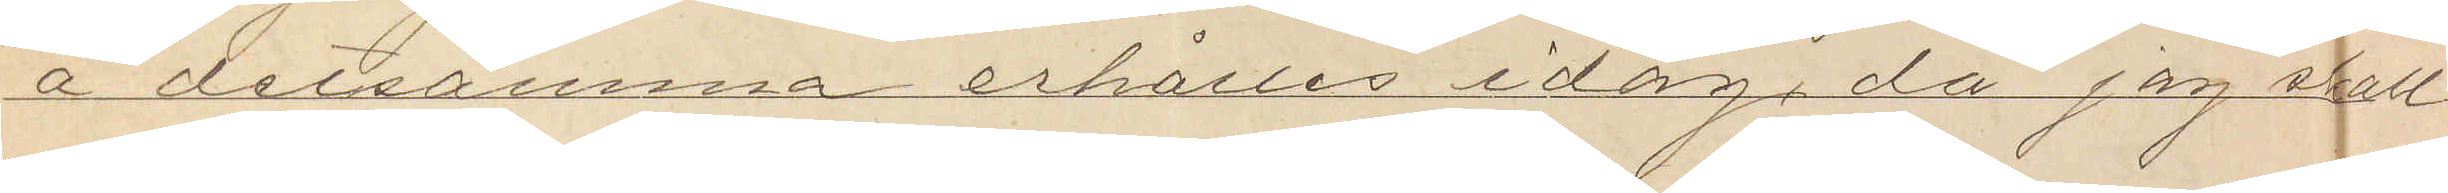å detsamma erhålles idag, då jag skall
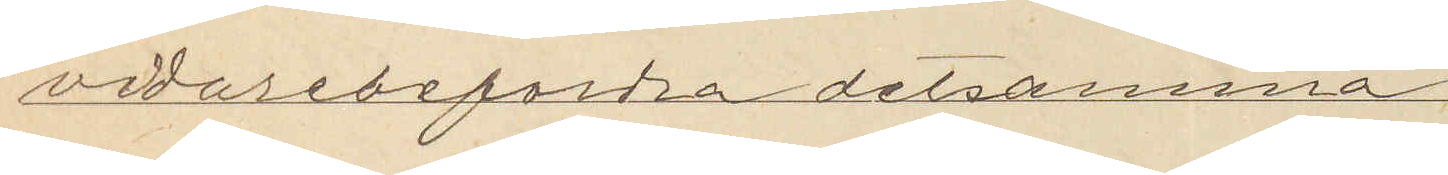vidarebefordra detsamma.
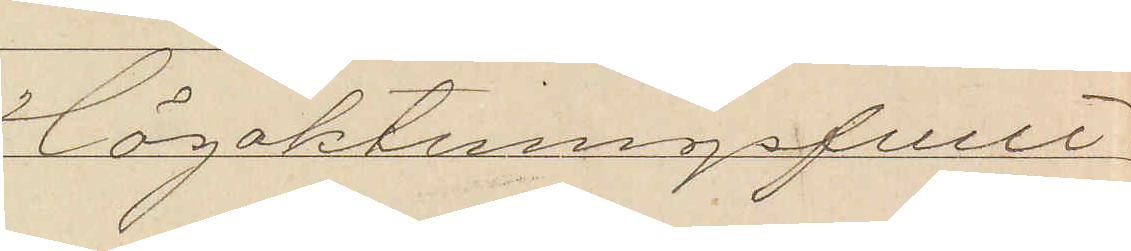Högaktningsfullt
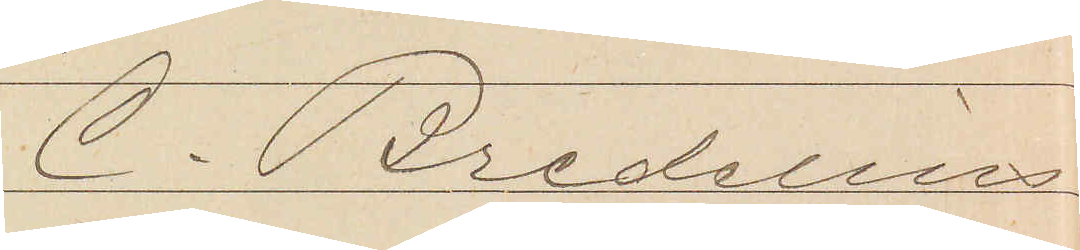C. Bredelius
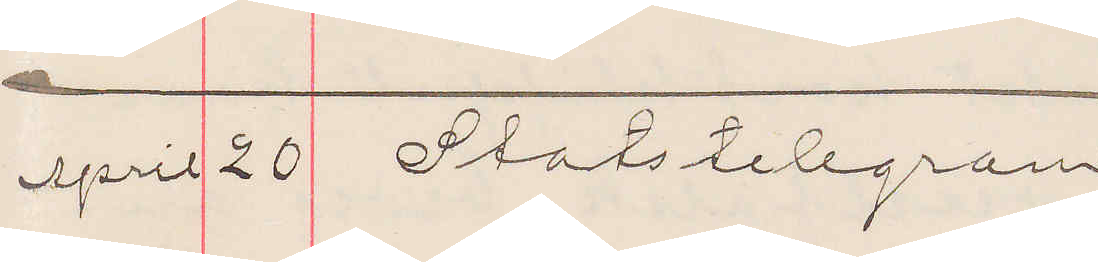April 20 Statstelegram
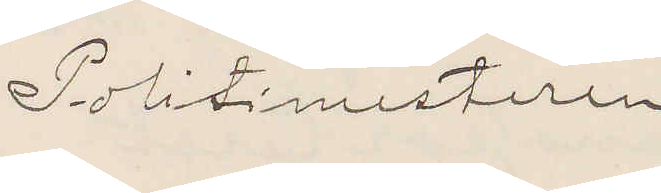Politimesteren
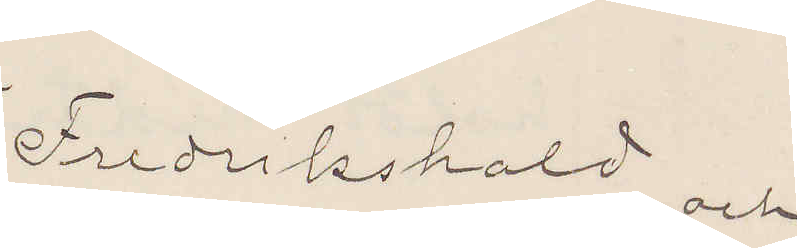Fredrikshald och
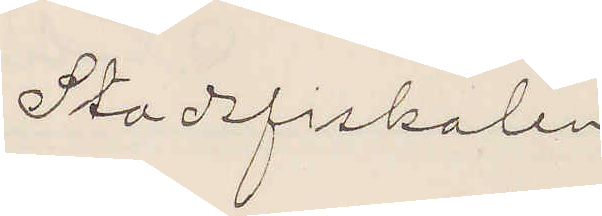Stadsfiskalen
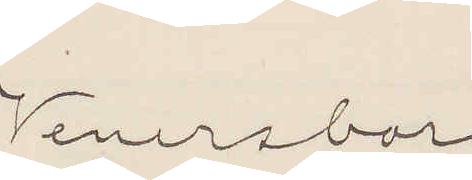Venersborg
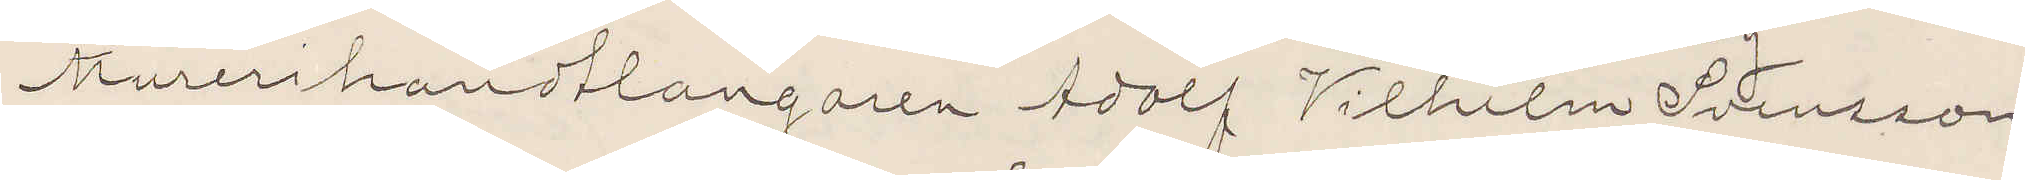Murerihandtlangare Adolf Vilhelm Svensson,
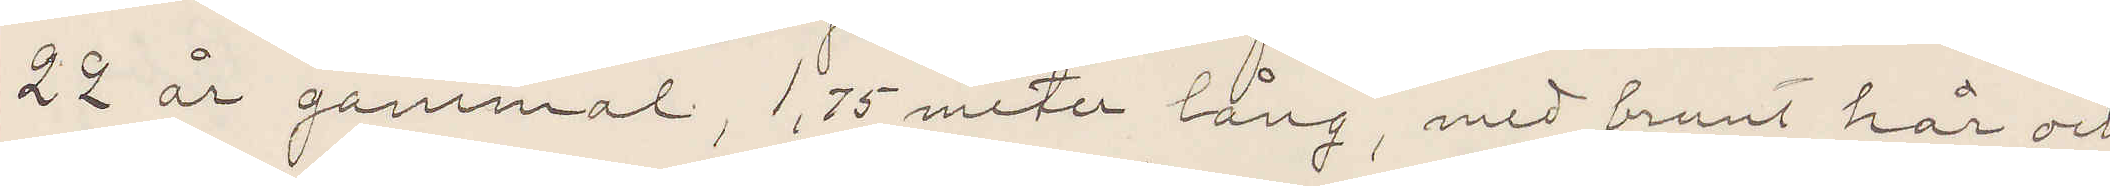22 år gammal, 1,75 meter lång, med brunt hår och
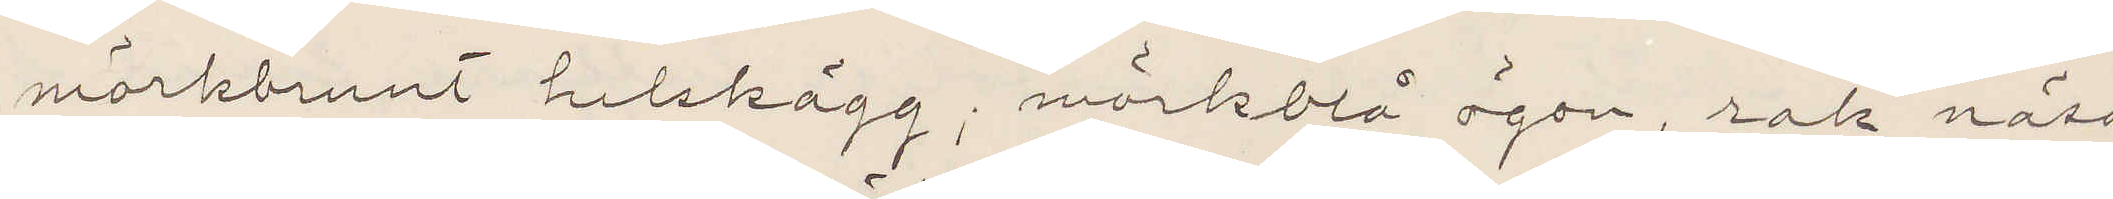mörkbrunt helskägg; mörkblå ögon, rak näsa
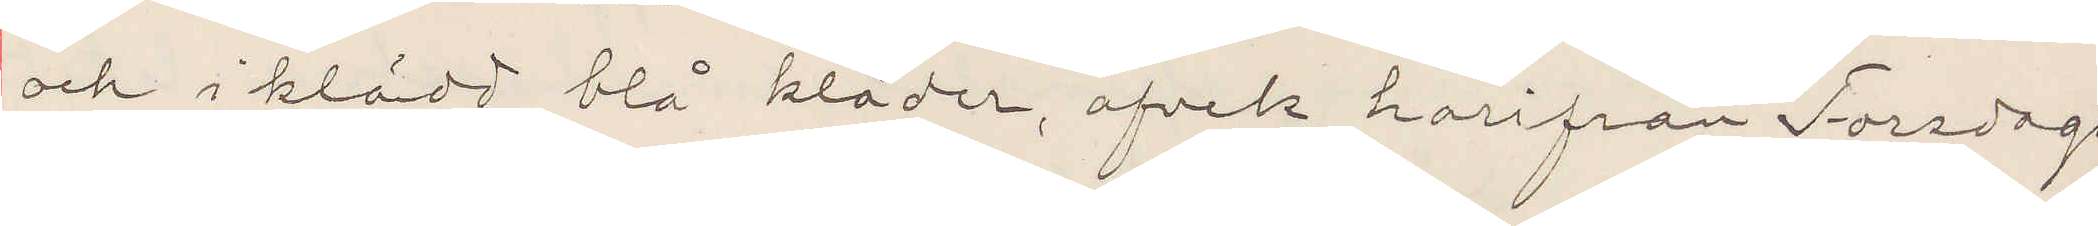och i klädd blå kläder, afvek harifrån Torsdags
